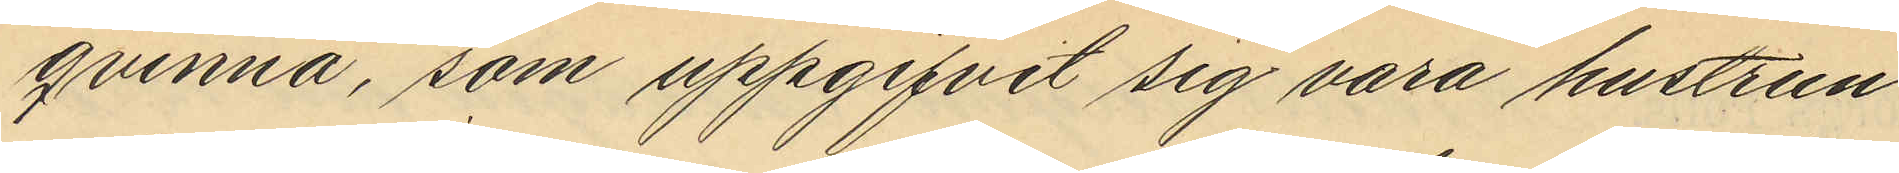qvinna, som uppgifvit sig vara hustrun
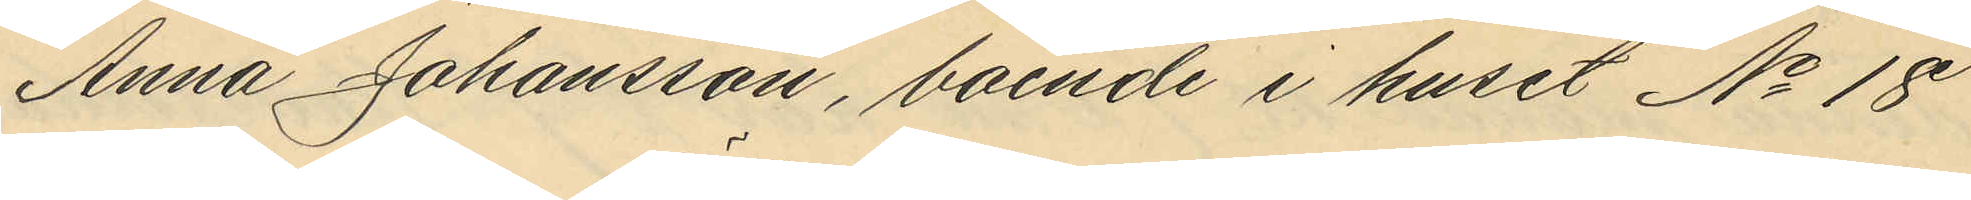Anna Johansson, boende i huset No 18
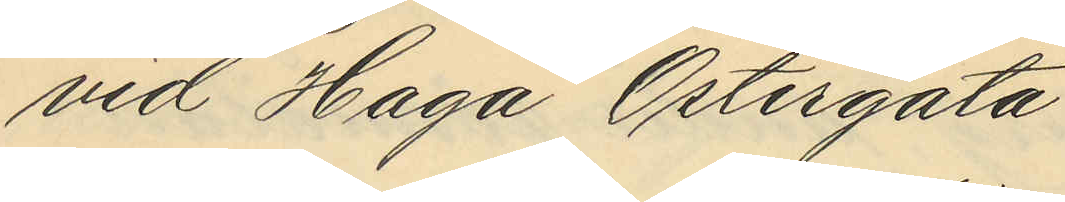vid Haga Östergata
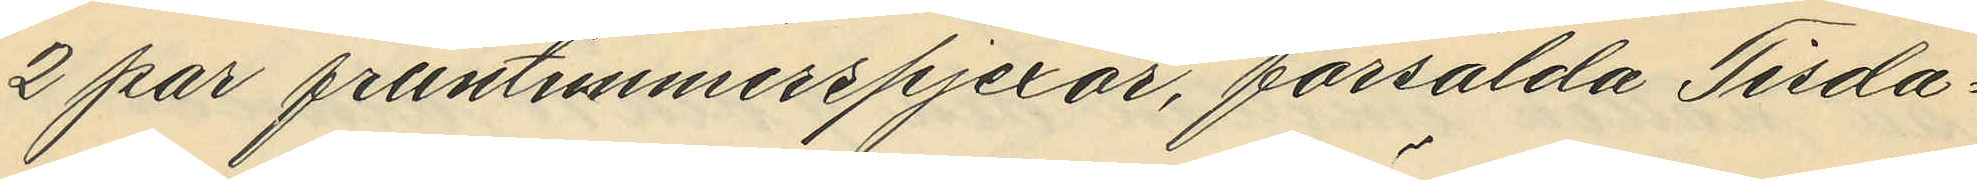2 par fruntimmerspjexor, försålda Tisda¬
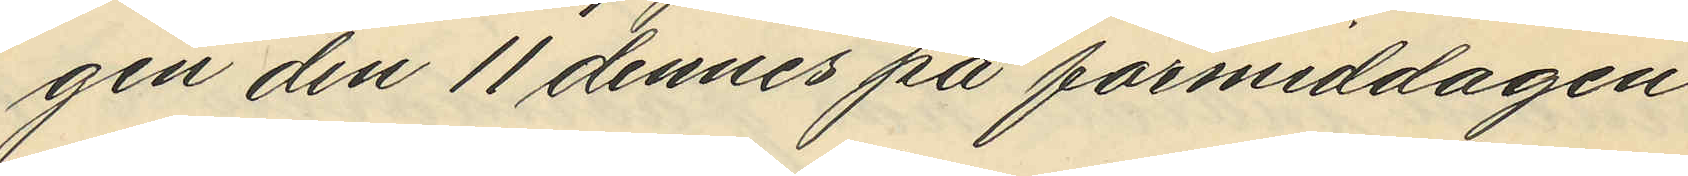gen den 11 dennes på förmiddagen
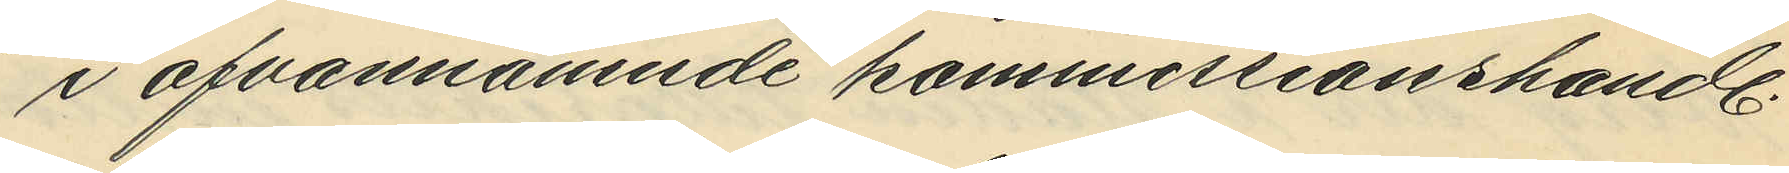i ofvannämnde kommissionshandl.
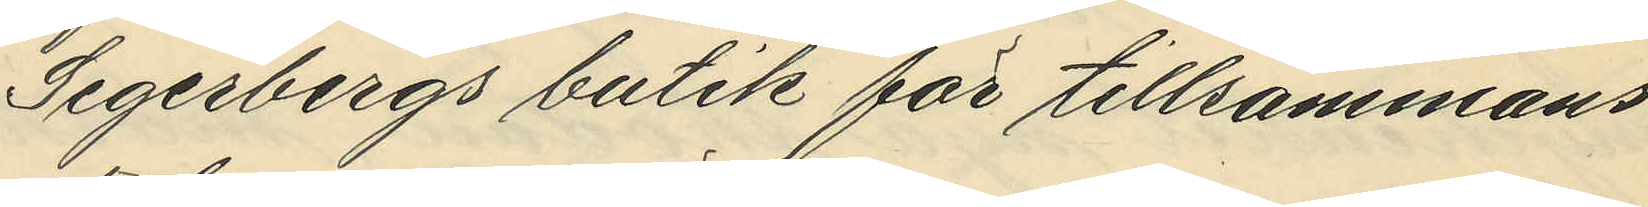Segerbergs butik för tillsammans
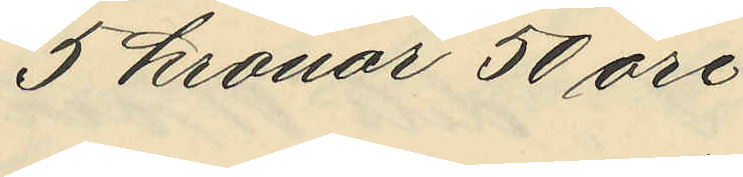5 kronor 50 öre.
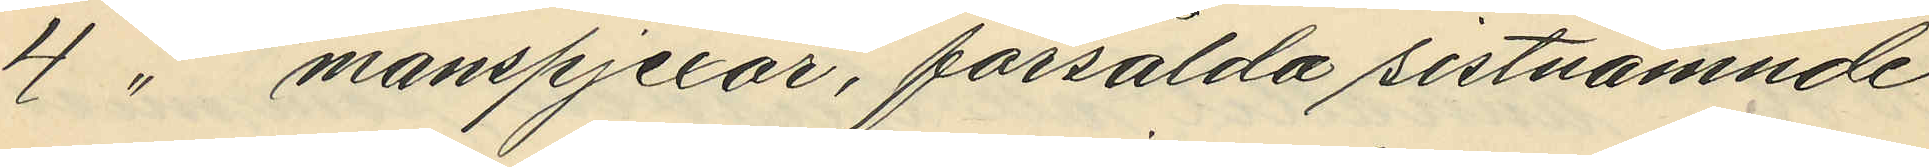4 " manspjexor, försålda sistnämnde
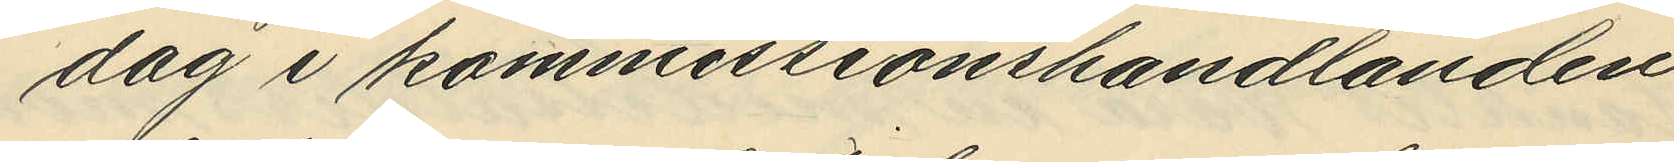dag i kommissionshandlanden
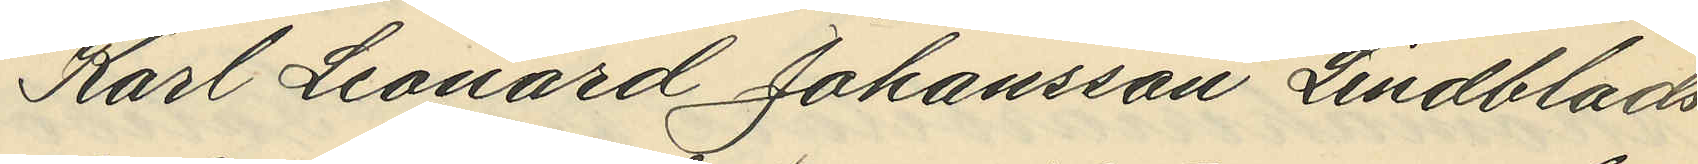Karl Leonard Johansson Lindblads
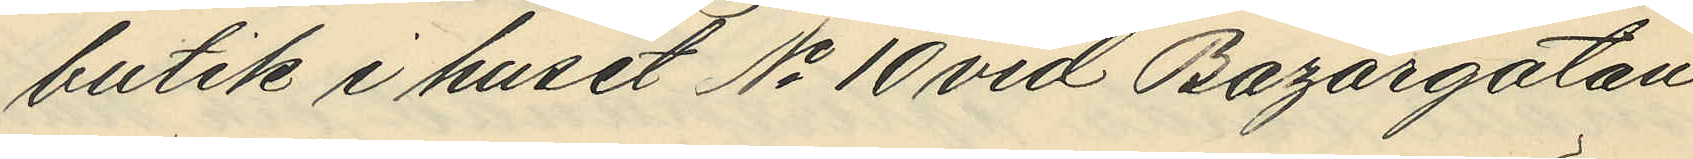butik i huset No 10 vid Bazargatan
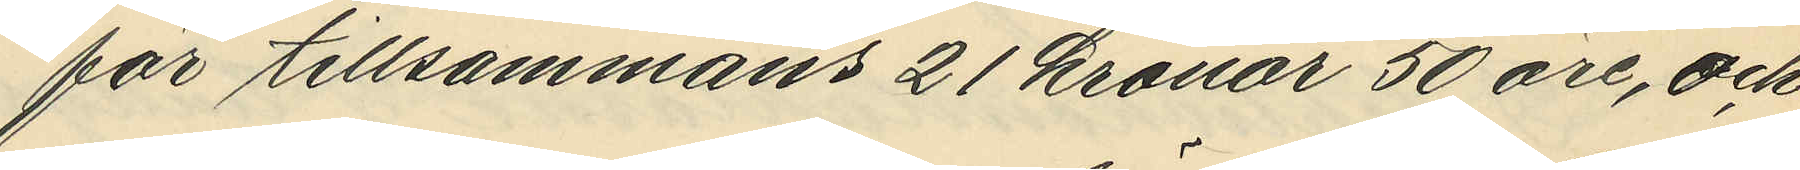för tillsammans 21 kronor 50 öre, och
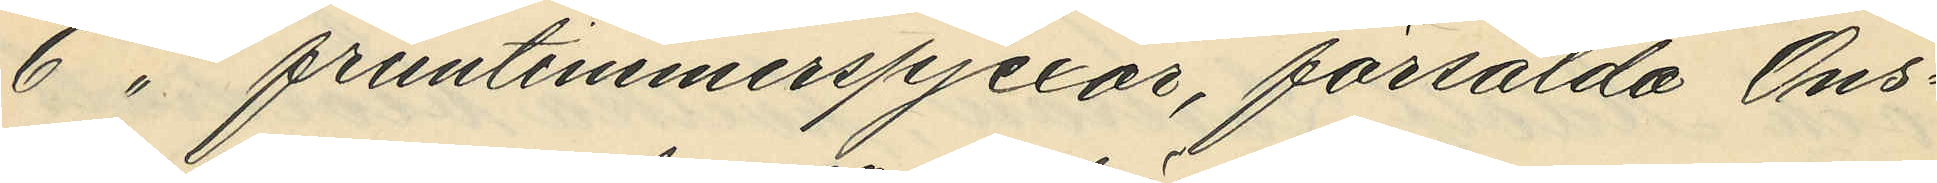6 " fruntimmerspjexor, försålda Ons¬
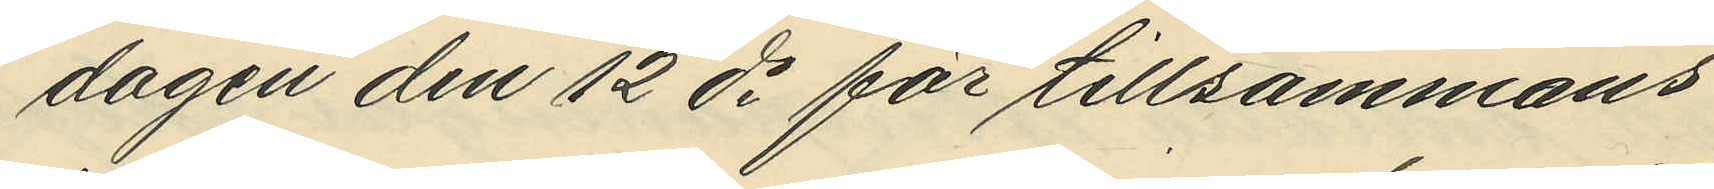dagen den 12 ds för tillsammans
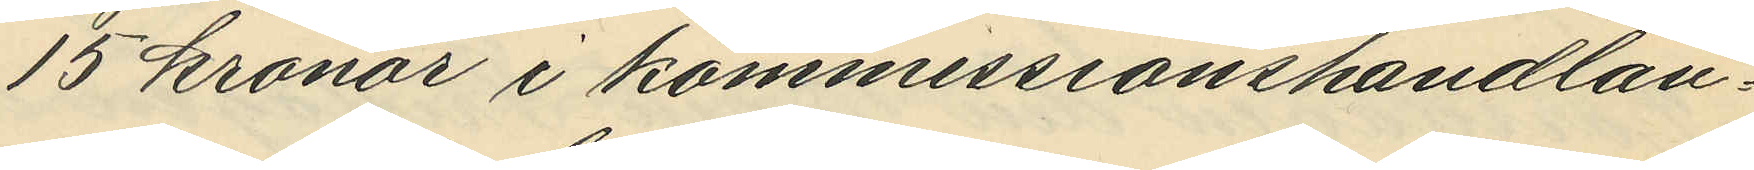15 kronor i kommissionshandlan¬
